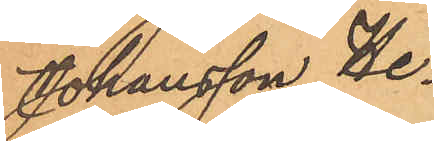Johansson He¬
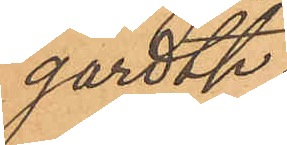gardth.
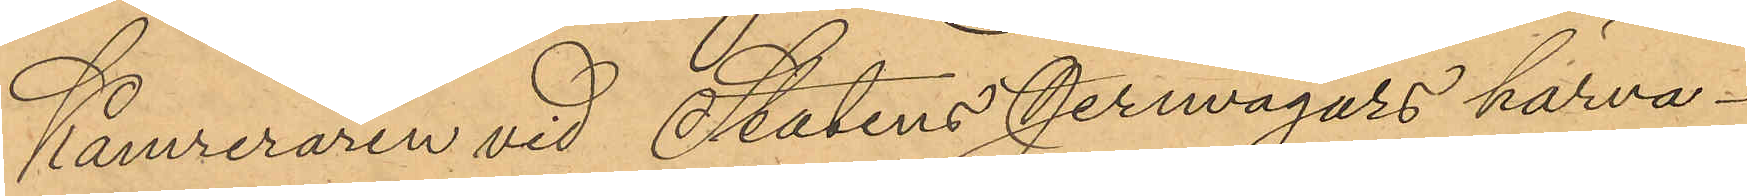Kamreraren vid Statens Jernvägars härva¬
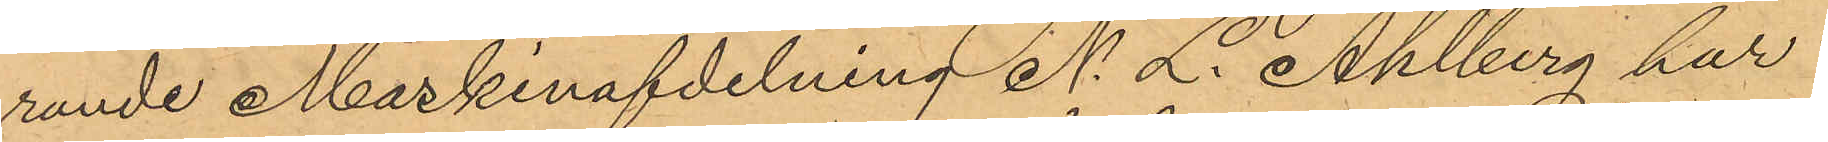rande Maskinafdelning N. L. Ahlberg har
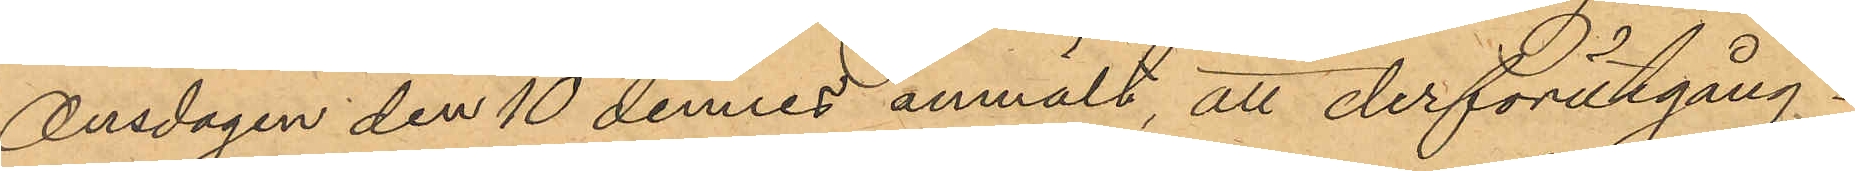Onsdagen den 10 dennes anmält, att derförutgång¬
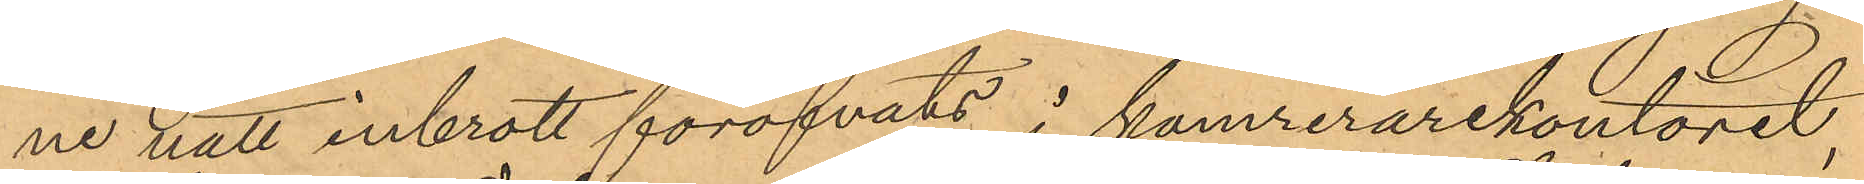ne natt inbrott föröfvats i komrerarekontoret,
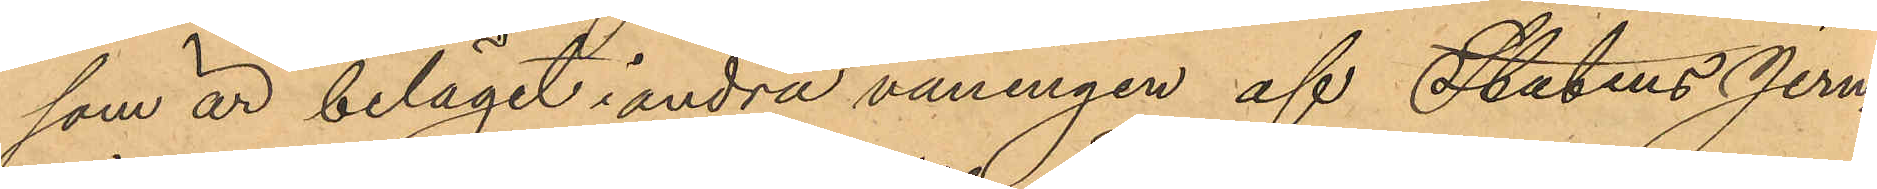som är beläget i andra våningen af Statens Jern¬
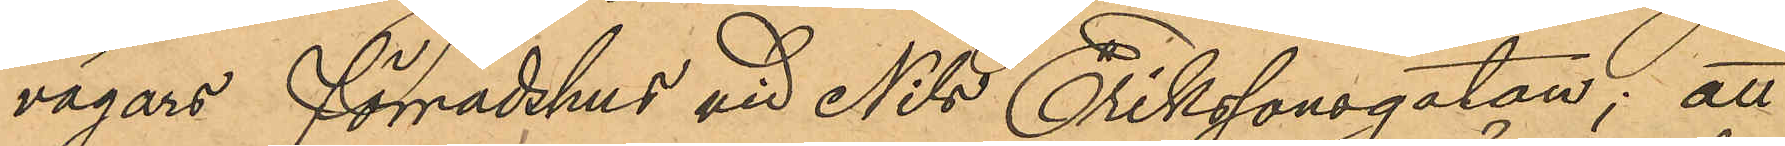vägars förrådshus vid Nils Erikssonsgatan; att
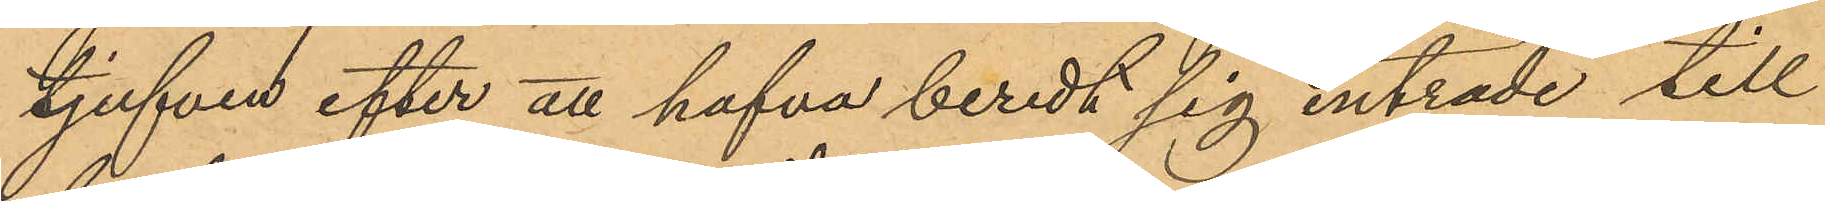tjufven efter att hafva beredt sig inträde till
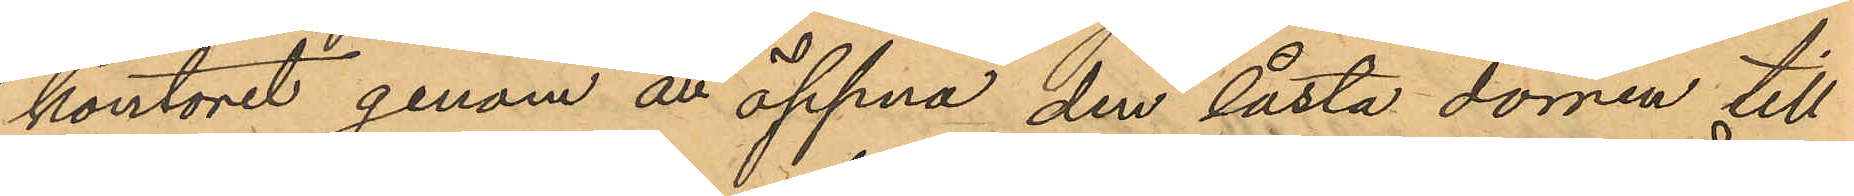kontoret genom än öppna den låsta dörren till
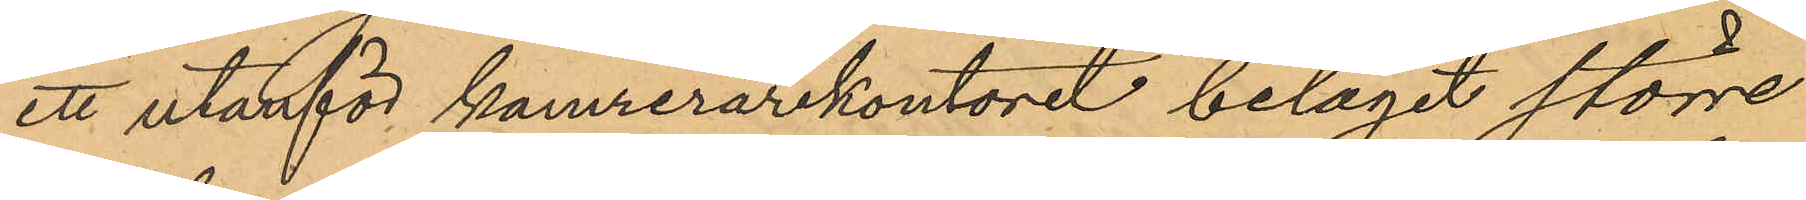ett utanför kamrerarekontoret beläget större
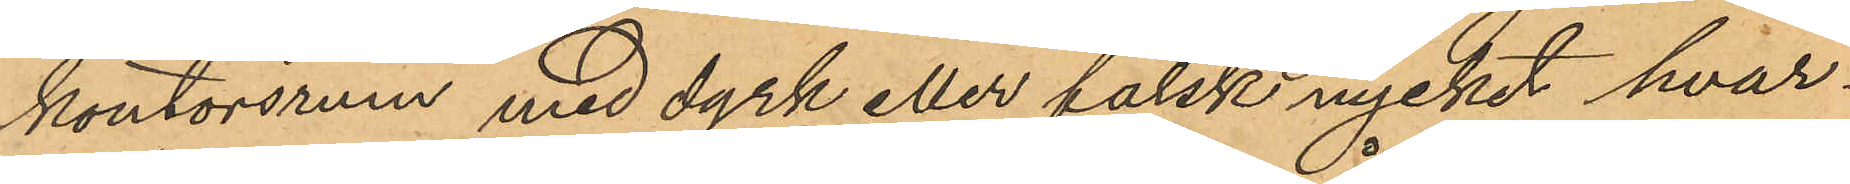kontorsrum med dyrk eller falsk nycket hvar¬
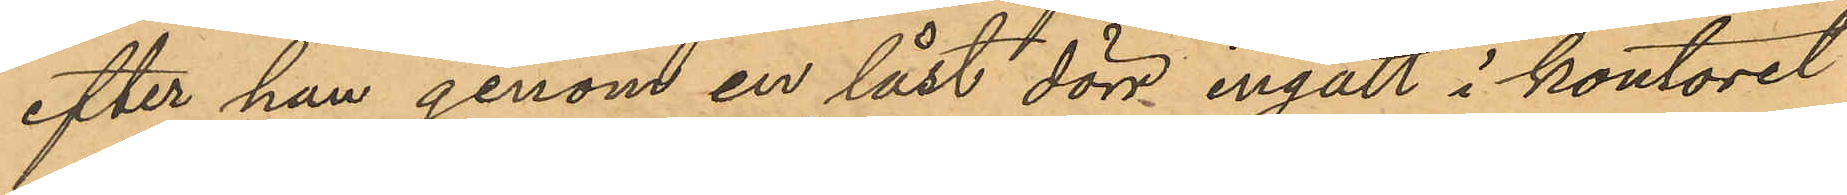efter han genom en låst dörr ingått i kontoret
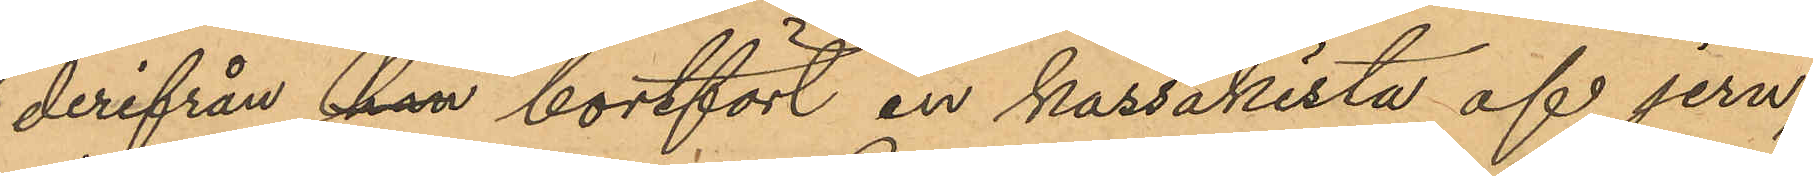derifrån han bortfört en kassakista af jern,
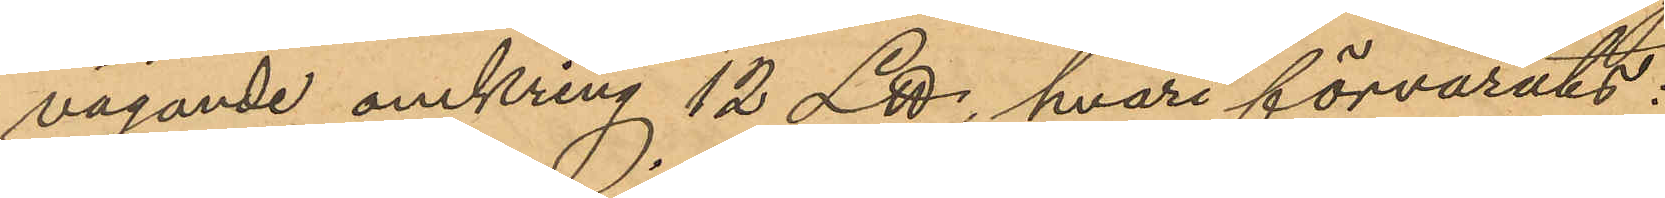vägande omkring 12 L℔, hvari förvarats:
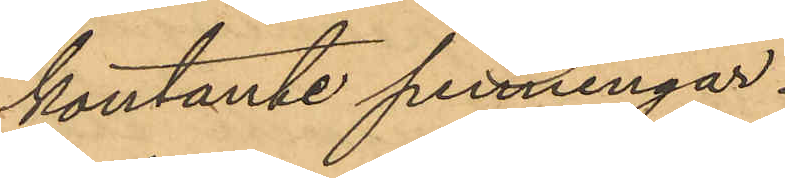kontante penningar.
